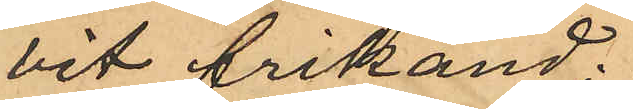vit frikänd;
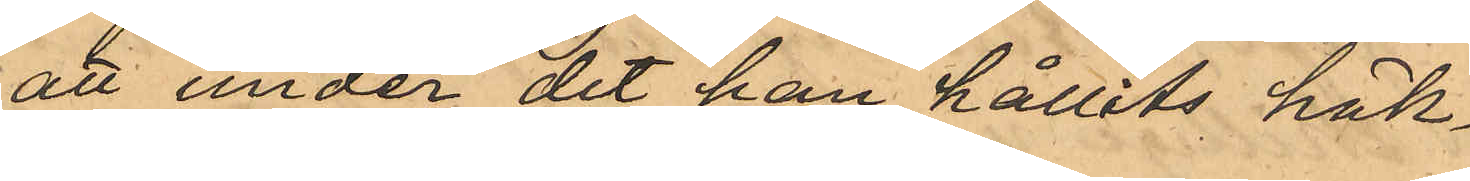att under det han hållits häk¬
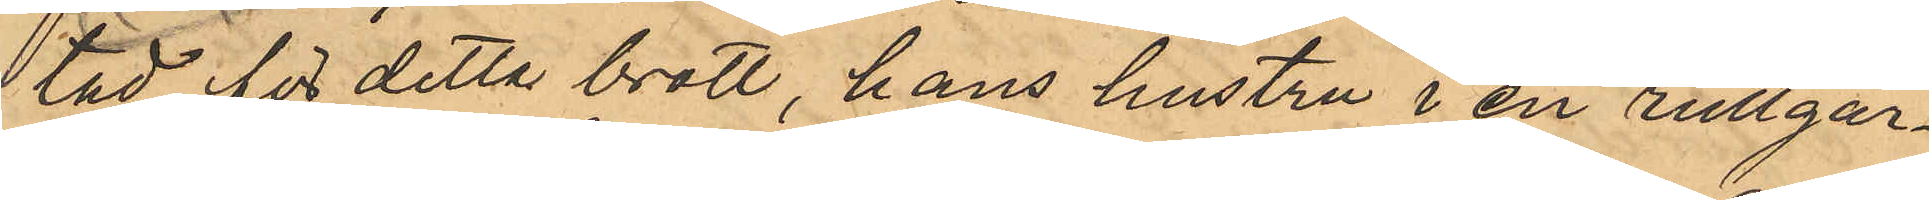tad för detta brott, hans hustru i en rullgar¬
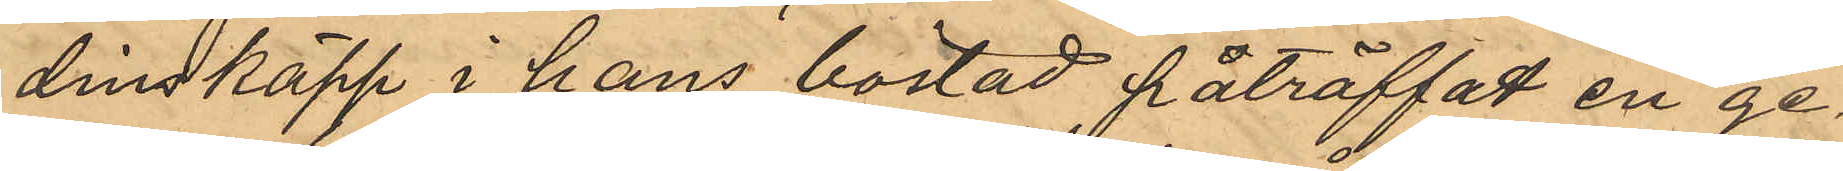dinskäpp i hans bostad påträffat en ge¬
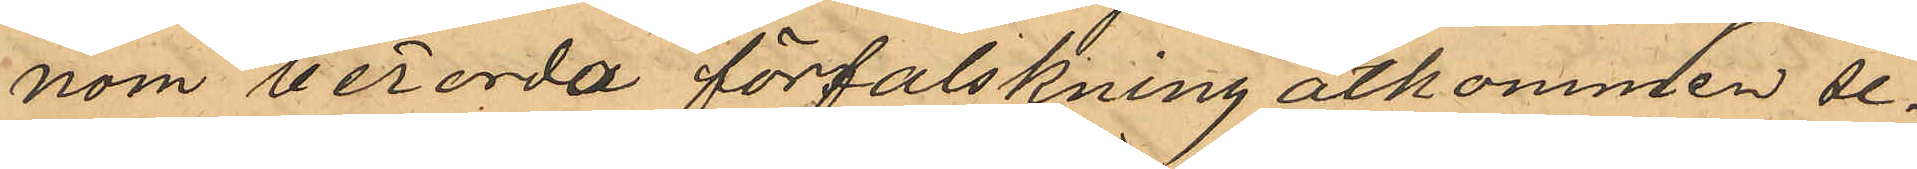nom berörda förfalskning åtkommen se¬
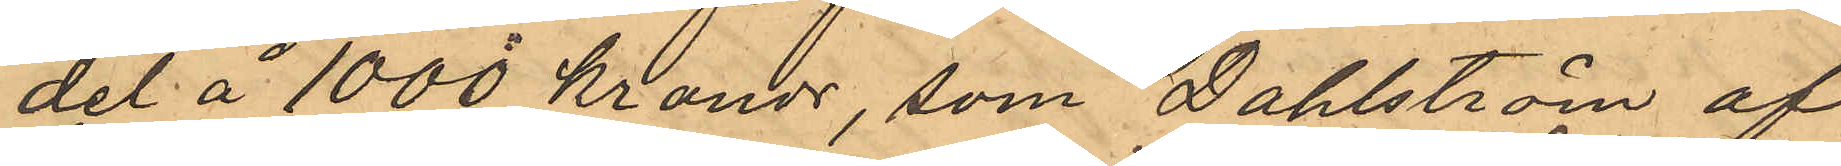del å 1000 kronor, som Dahlström af
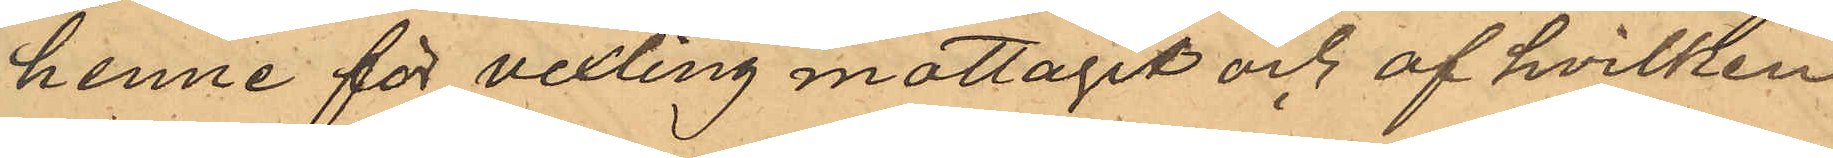henne för vexling mottagit och af hvilken
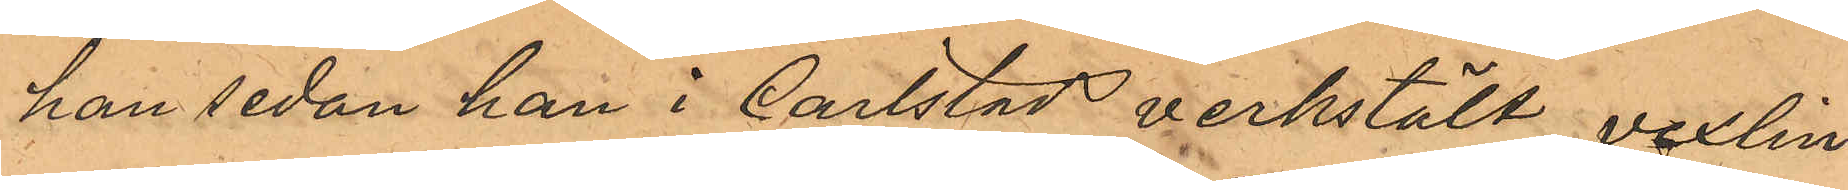han sedan han i Carlstad verkstält vexlin¬
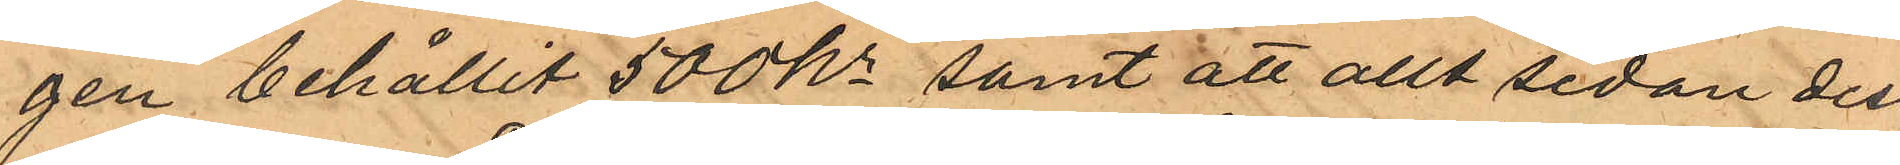gen behållit 500 kr samt att allt sedan dess
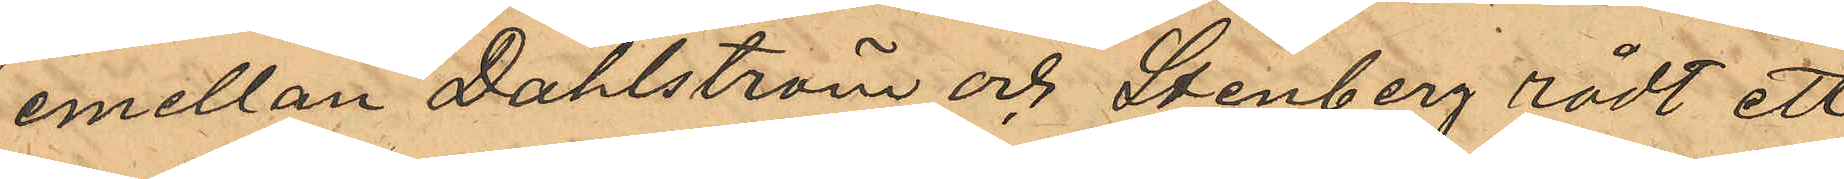emellan Dahlström och Stenberg rådt ett
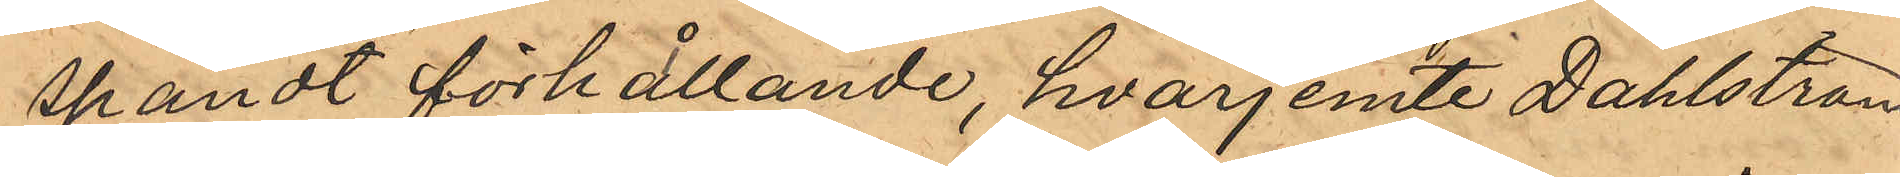spändt förhållande, hvarjemte Dahlström
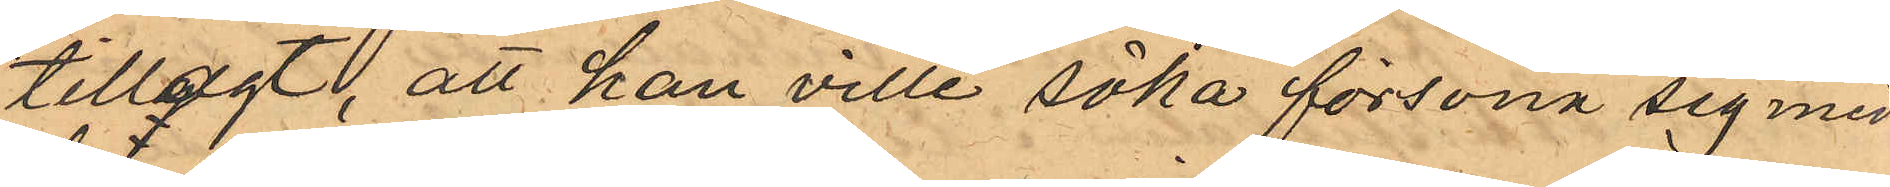tillagt, att han ville söka försona sig med
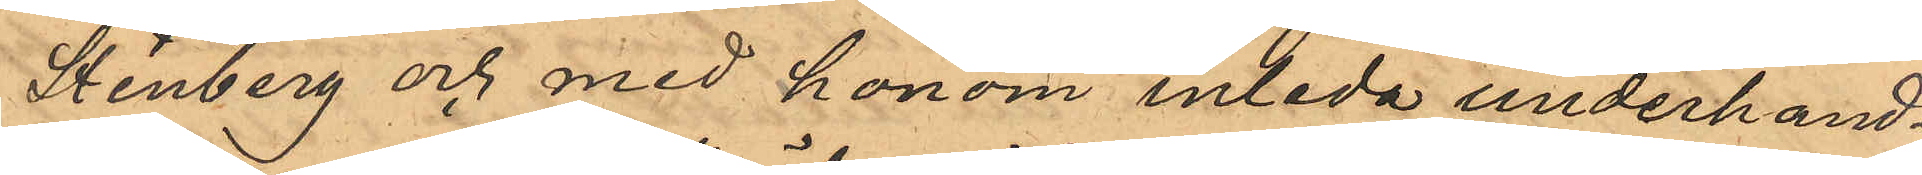Stenberg och med honom inleda underhand¬
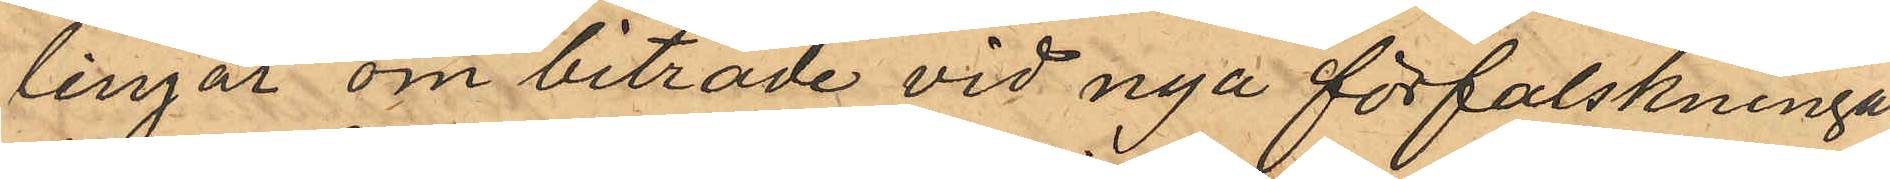lingar om biträde vid nya förfalskningar,
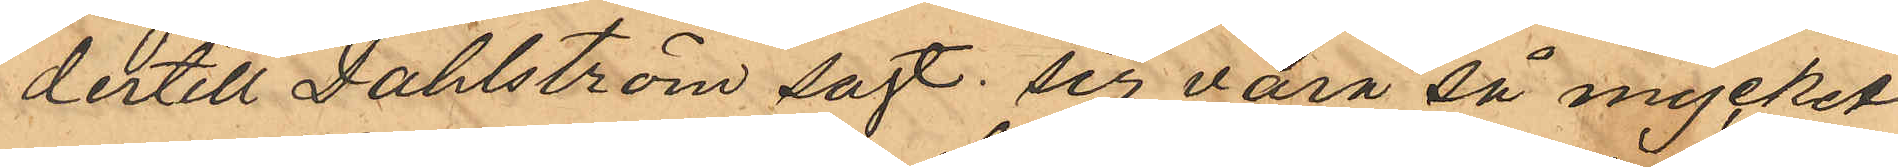dertill Dahlström sagt sig vara så mycket
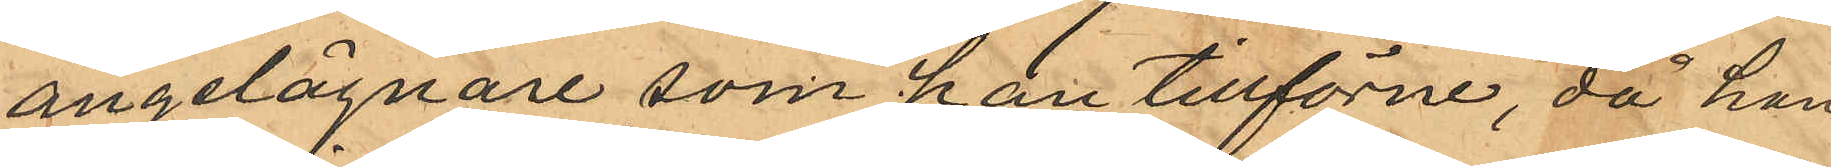angelägnare som han tillförne, då han
